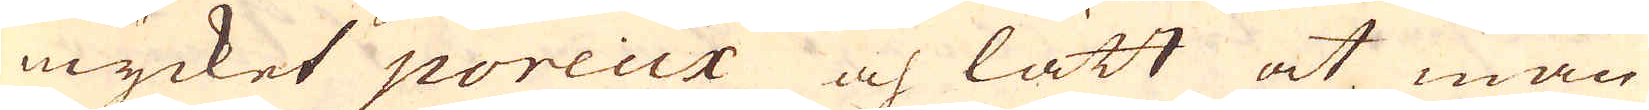mycket poreux och lätt at man
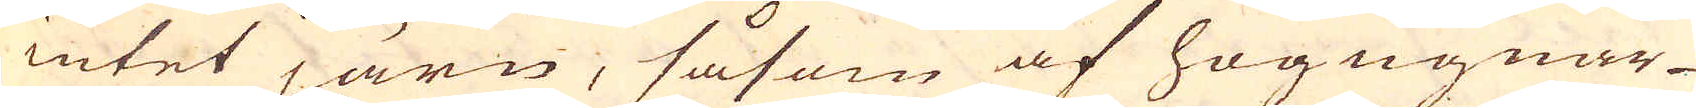intet järn, såsom af högugnar-
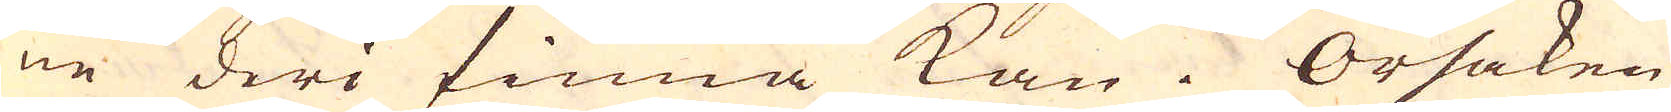ne deri finna kan. Orsaken
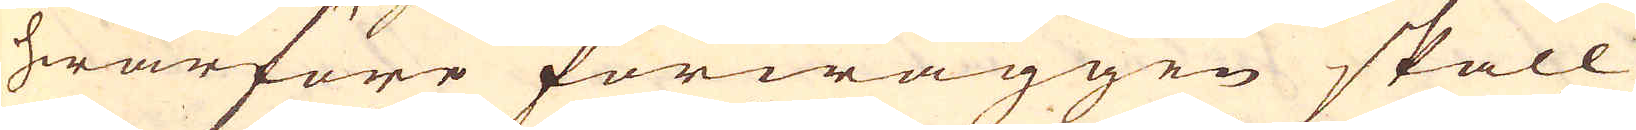hwarföre förwäggen skall
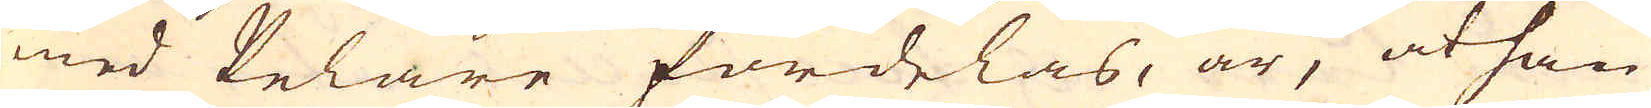med Pelare fördelas, är, at han
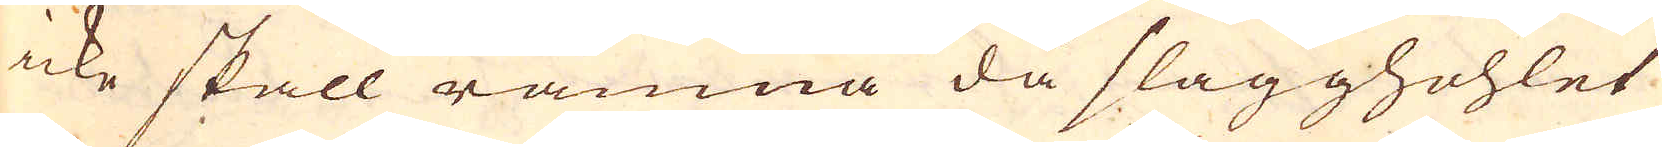icke skall rämna då slagghohlet
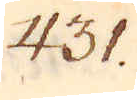431.
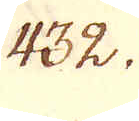432.
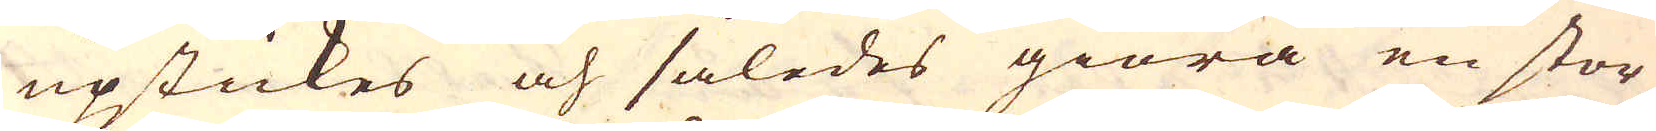upstickes och således giöra en stor
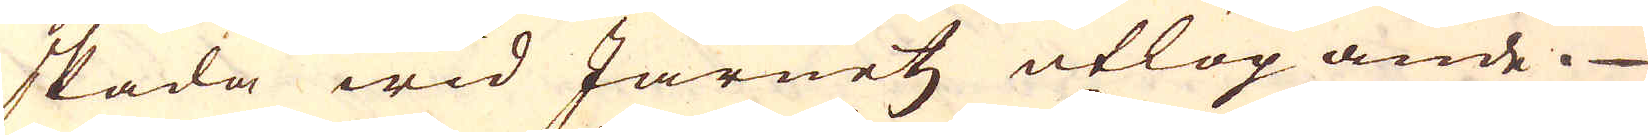skada wid Järnetz utlöpande.
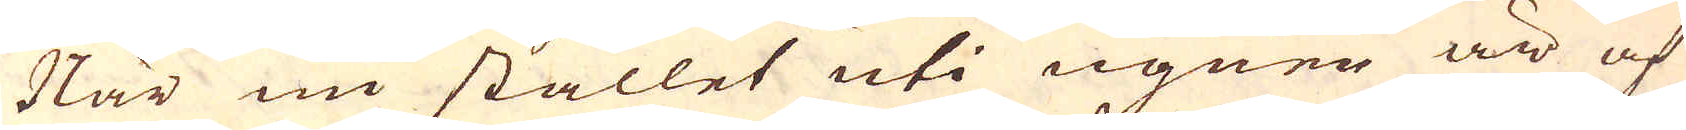När nu stället uti ugnen är af
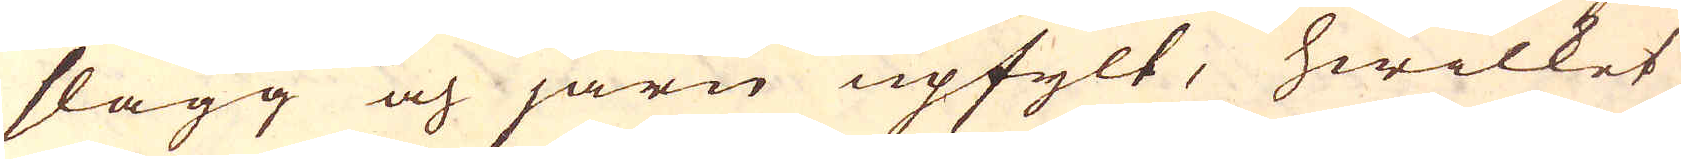slagg och järn upfylt, hwilket
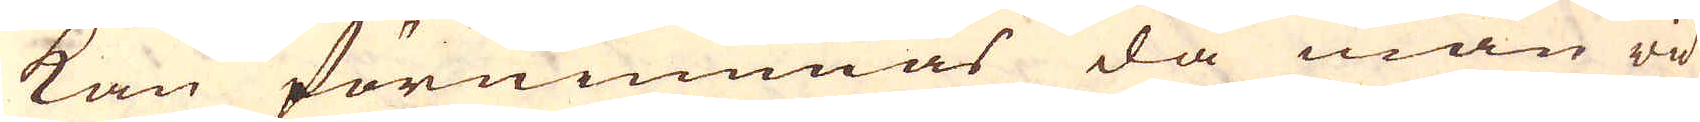kan förnimmas då man wid
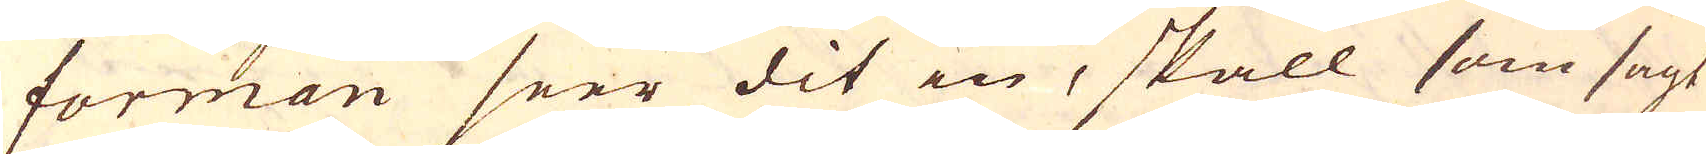forman seer dit in, skall som sagt
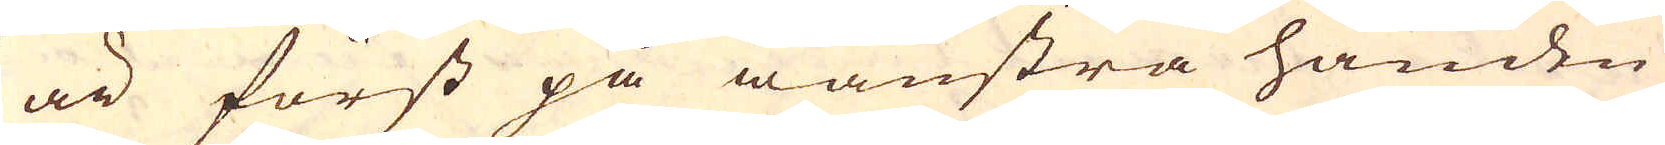är först på wänstra handen
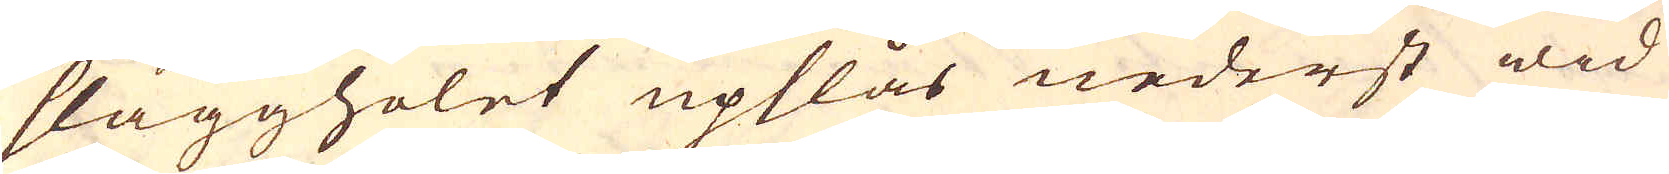slaggholet upslås nederst wid
